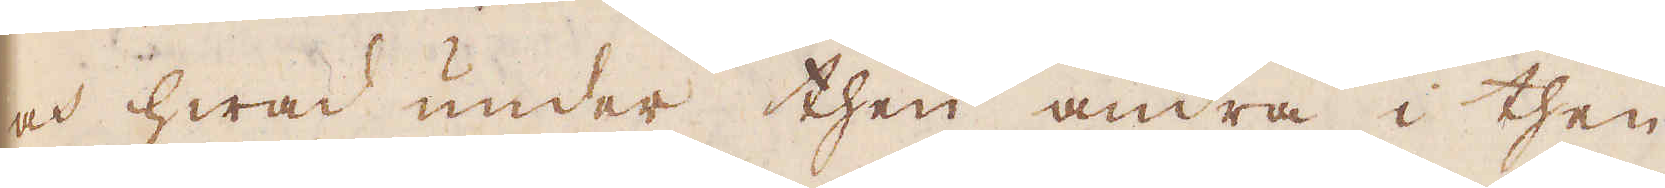och hwad under then andra i then
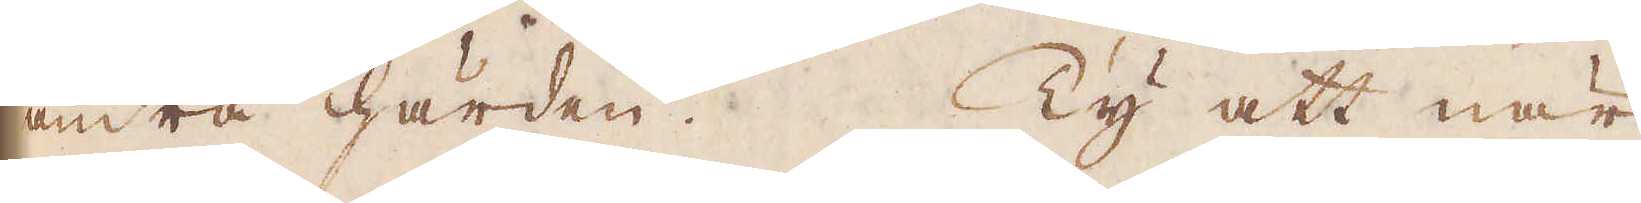andra härden. Ty att när
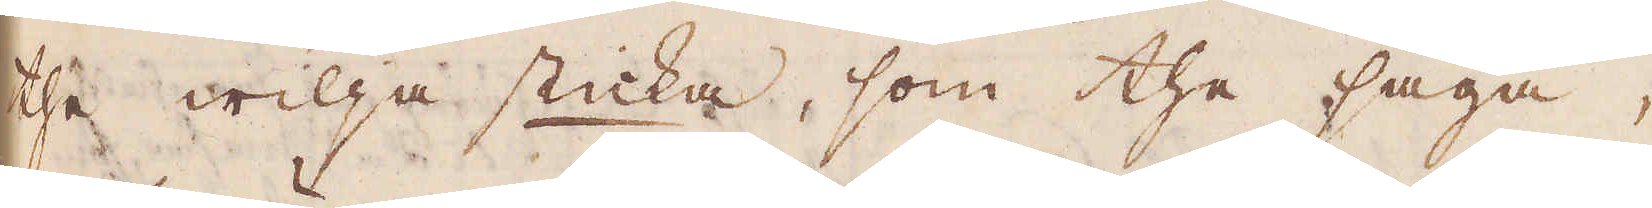the wilja sticka, som the säga,
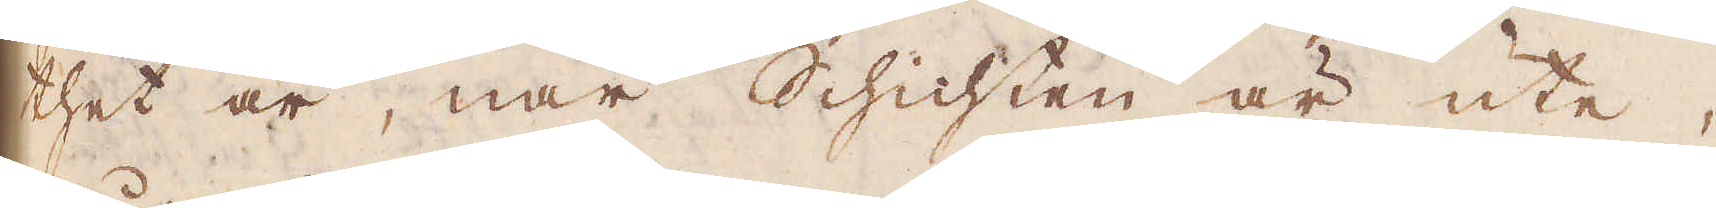thet är, när Schichten är ute,
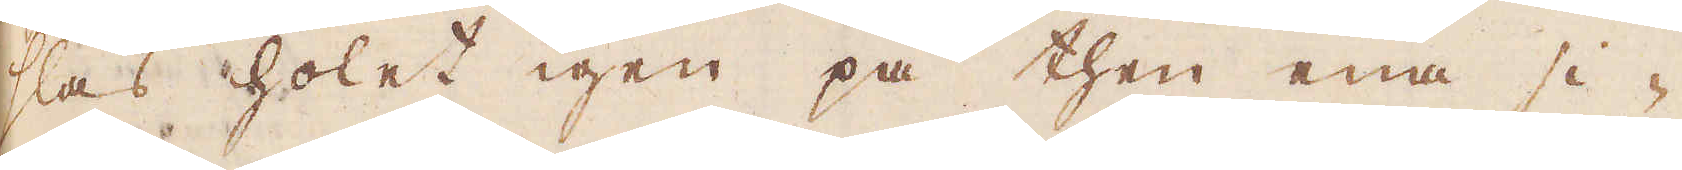slås holet igen på then ena si-
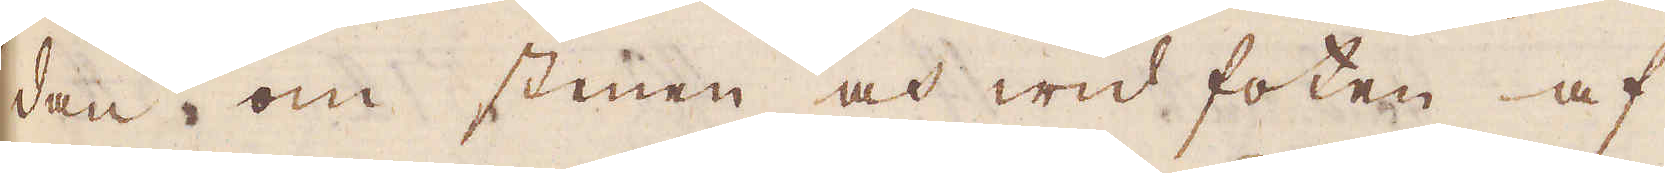dan om stenen och wid foten af
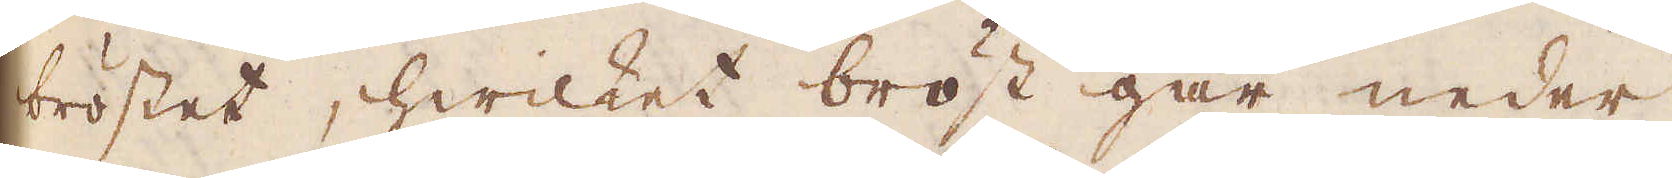bröstet, hwilket bröst går neder
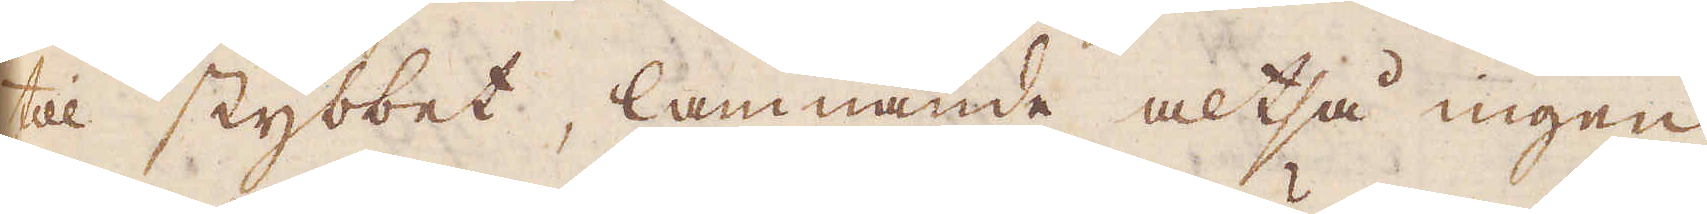till stybbet, lamnande altså ingen
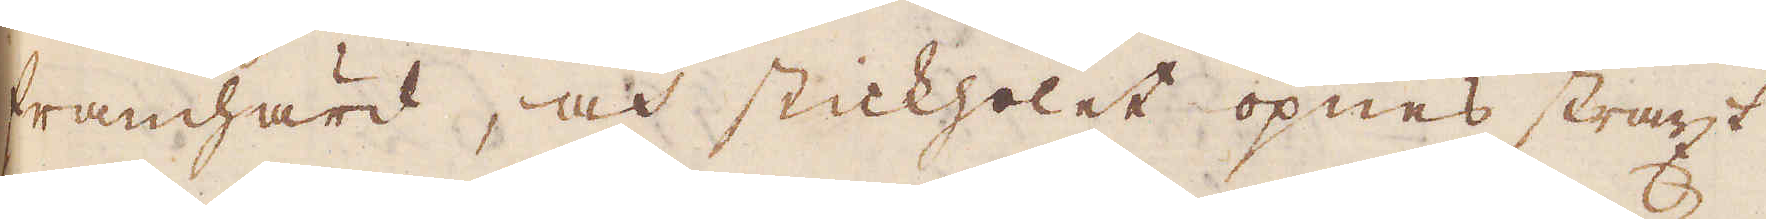framhärd, och stickholet öpnas straxt
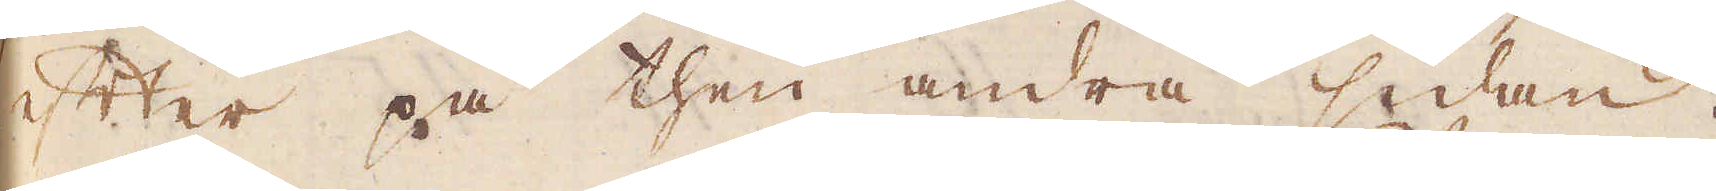efter på then andra sidan,
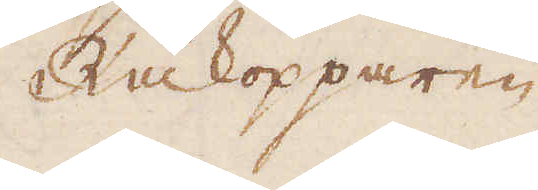Råkopparen
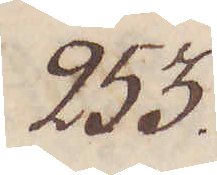253.
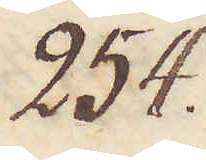254.
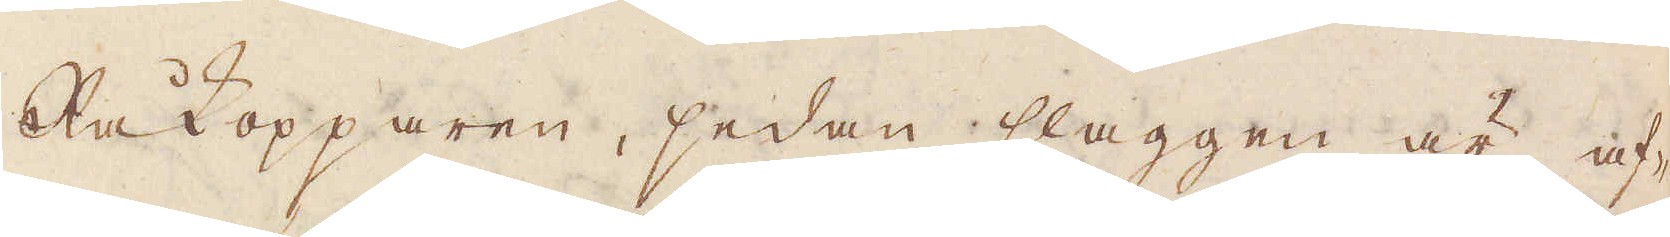Råkopparen, sedan slaggen är af-
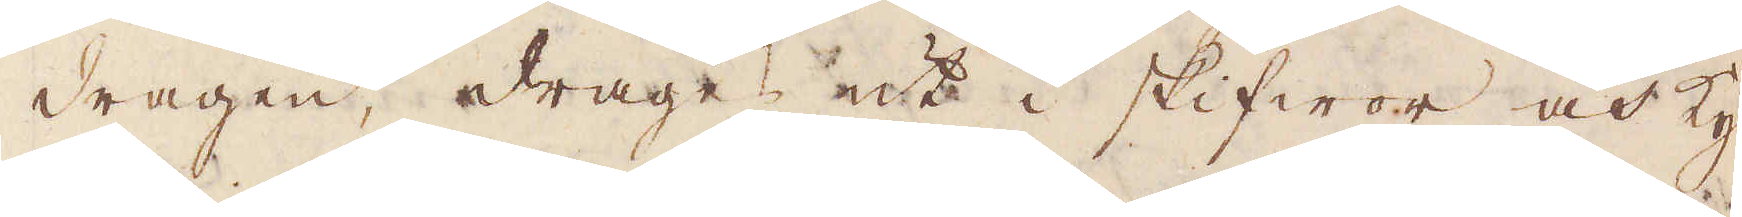dragen, drages ut i skifwor och Ky-
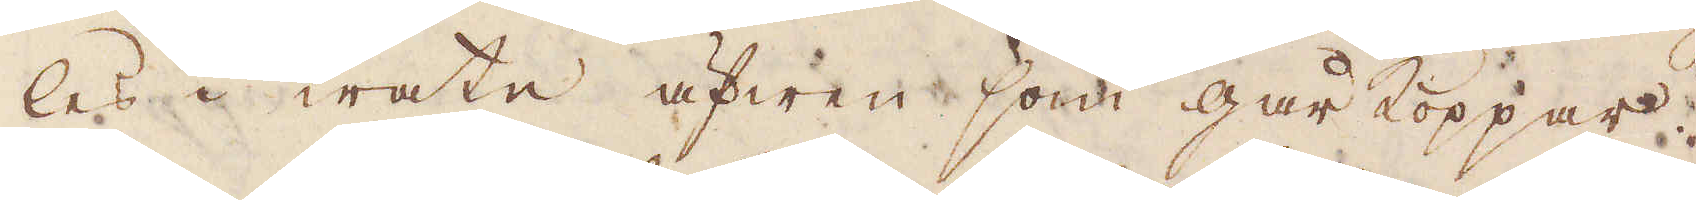les i watn äfwen som gårkoppar.
